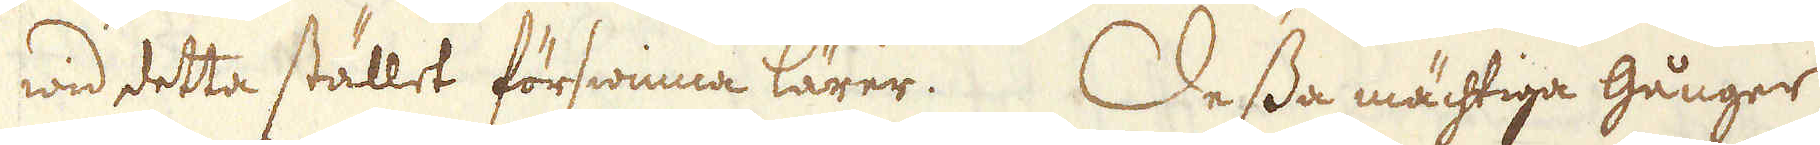wid detta stället förswinna lärer. Dessa mächtiga gånger
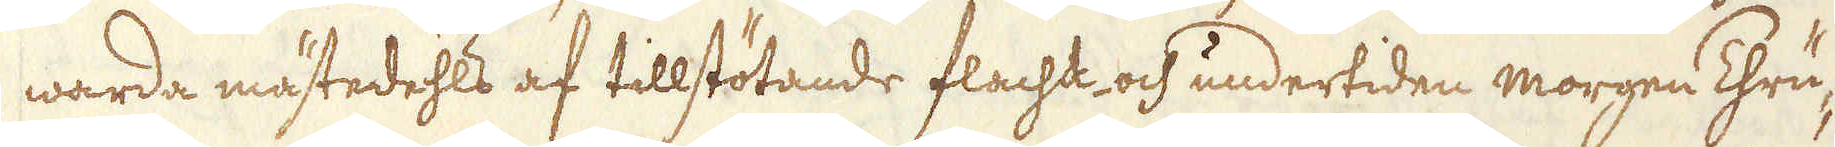warda mästedehls af tillstötande flacht och undertiden morgen Thrü-
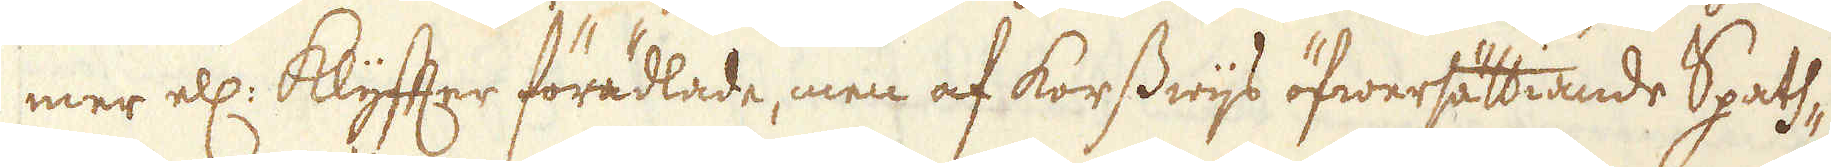mer ell: klyfter förädlade, men af korswijs öfwersättiande Spats-
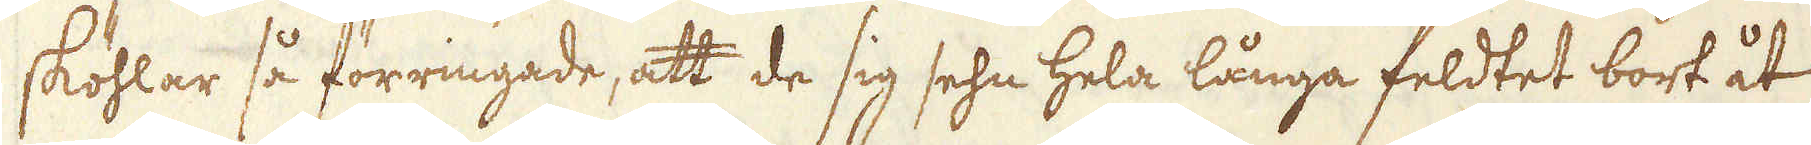sköhlar så förringade, att de sig sehn hela långa feldtet bort åt
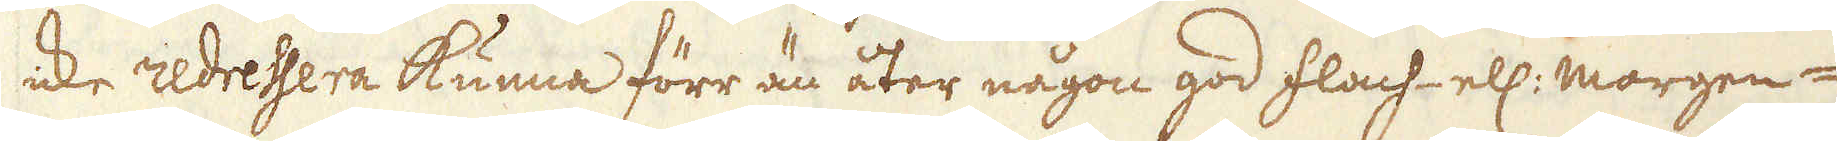icke redressera kunna förr än åter någon god flach- ell: morgen-
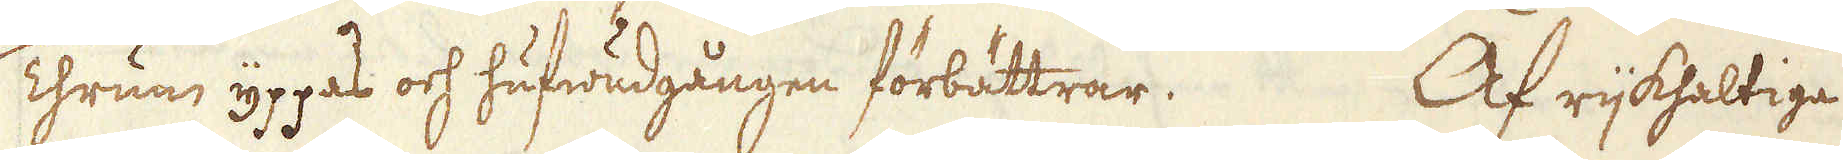Thrum, yppas och hufwudgången förbättrar. Af rijkhaltiga
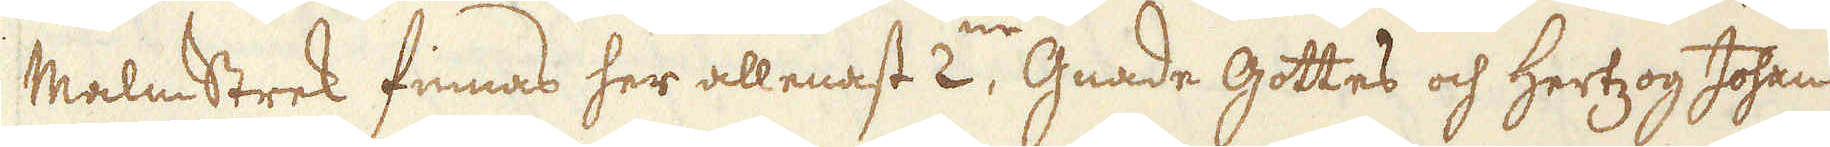Malmstrek finnas her allenast 2ne Gnade Gottes och Hertzog Johan
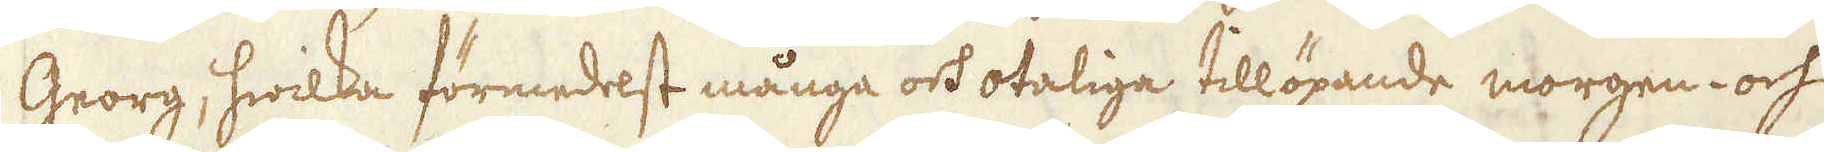Georg, hwilka förmedelst många och otaliga tillöpande morgen- och
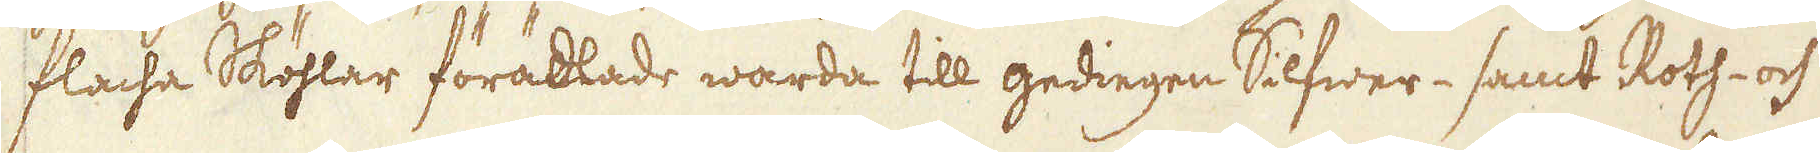flacha Sköhlar förädlade warda till gediegen Silfwer- samt Roth- och
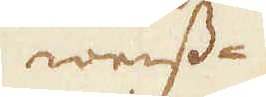weiss-
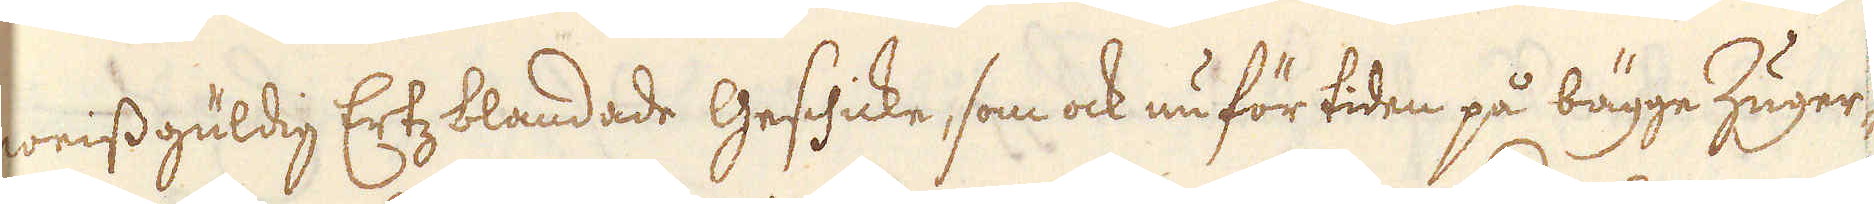weissgüldig Ertzblandade Gesckicke, som ock nu för tiden på bägge Zuger-
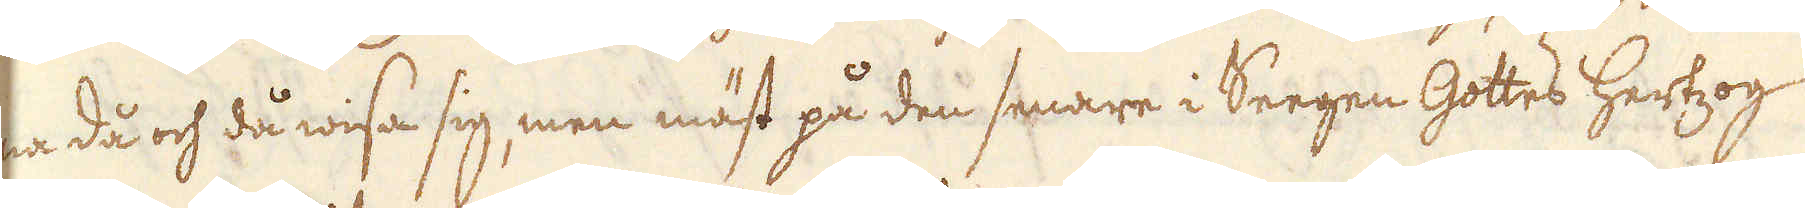na då och då wisa sig men mäst på den senare i Seegen Gottes hertzog
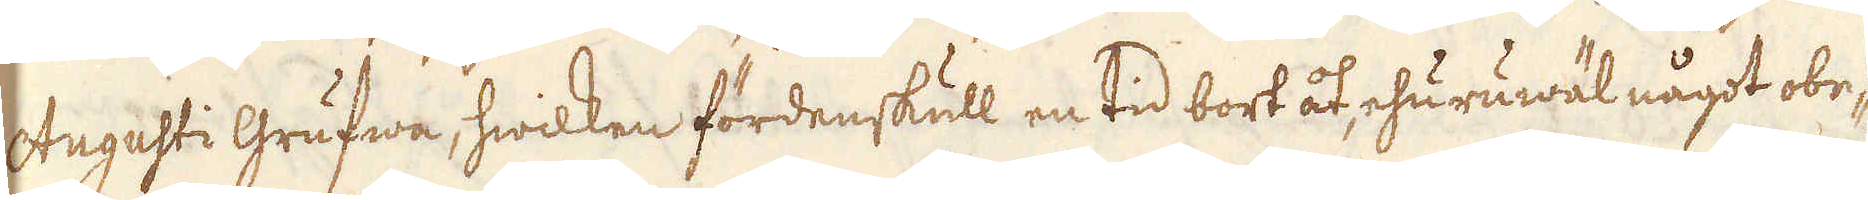Augusti Grufwa, hwilken fördenskull en tid bort åt, ehuruwäl något obe-
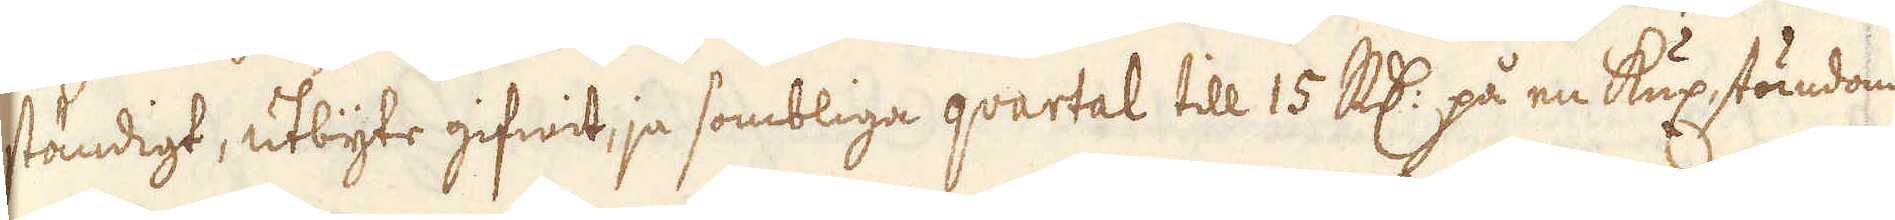ständigt, utbyte gifwit, ja sombliga qvartal till 15 R:dr på en Kux, stundom
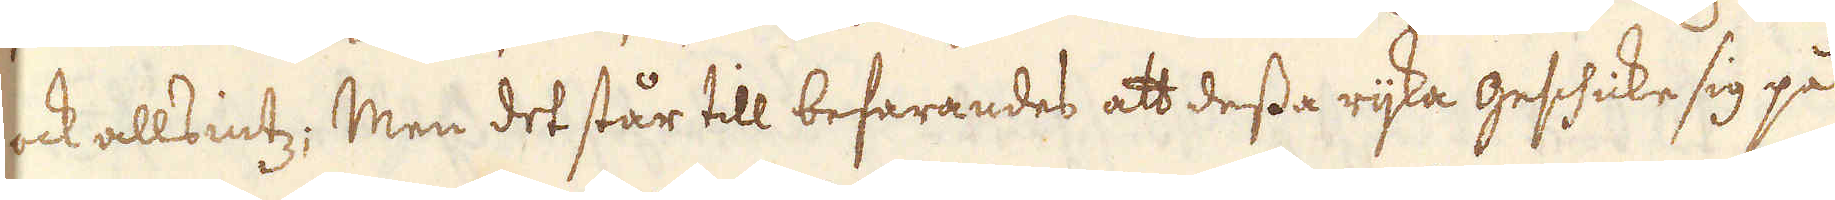ock allsintz; Men det står till befarandes att dessa rijka geshicke sig på
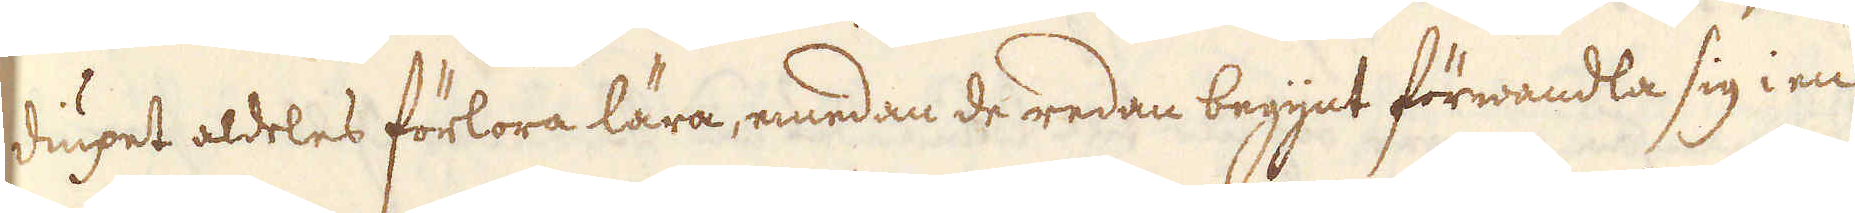diupet aldeles förlora lära, emedan de redan begynt förwandla sig i en-
